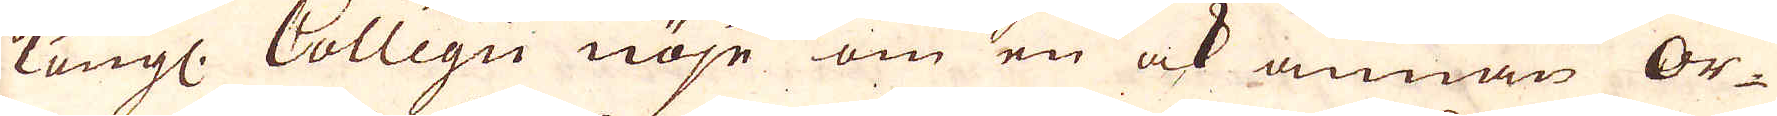Kungl: Collegii nöje om en ok annan Or-
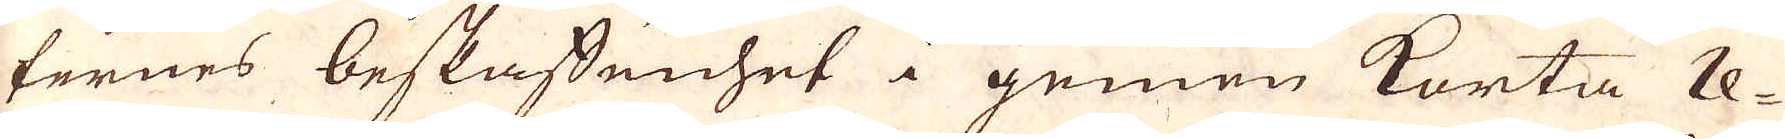ternes beskaffenhet i gemen korta re-
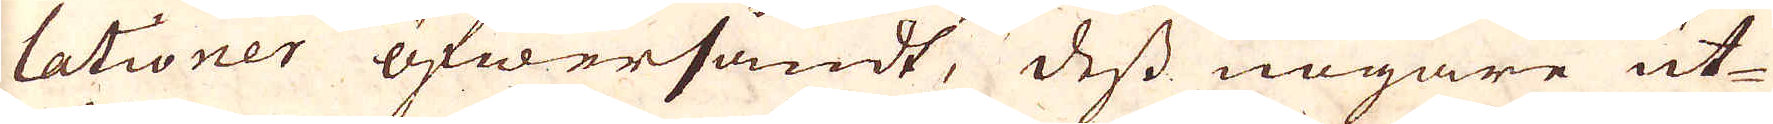lationer öfwersändt, dess nogare ut-
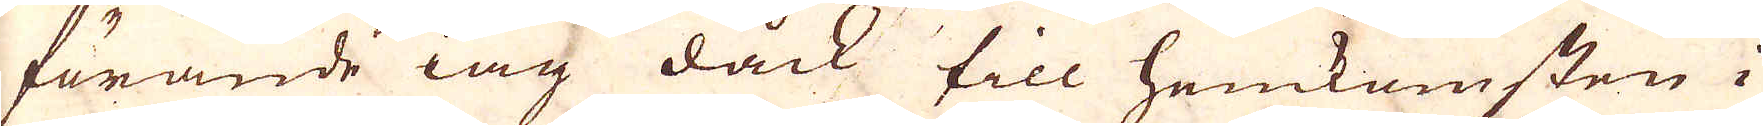förande iag dock till hemkomsten i
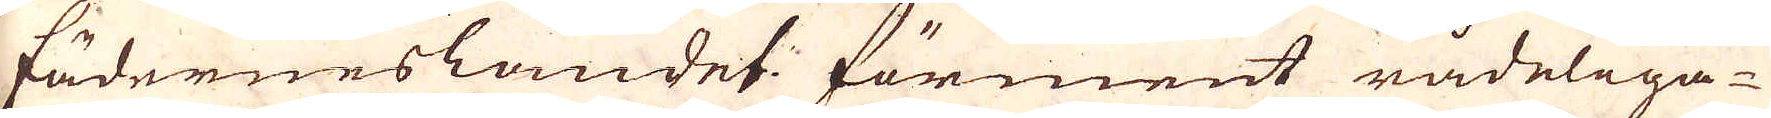fäderneslandet förment rådeliga-
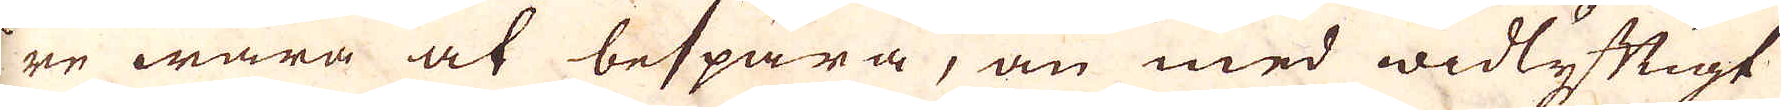re wara at bespara, än med widlyftigt
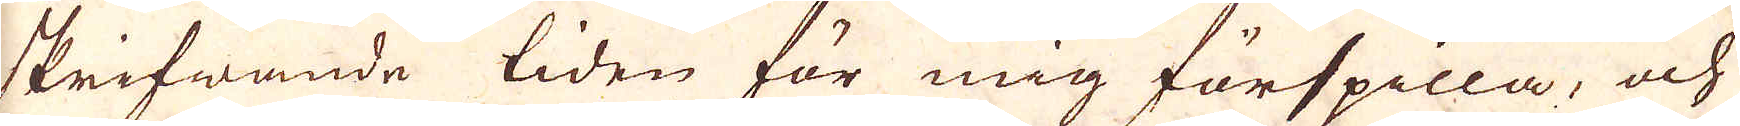skrifwande tiden för mig förspilla, och
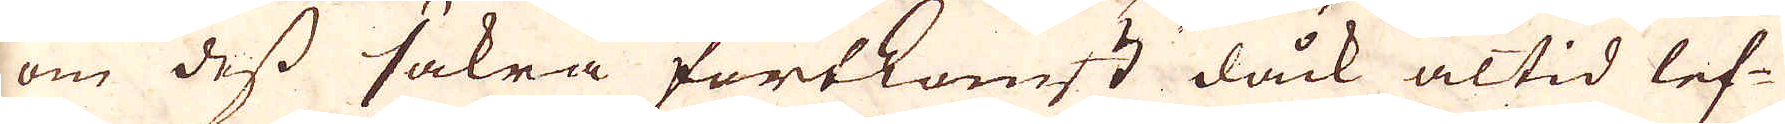om dess säkra fortkomst dåck altid lef-
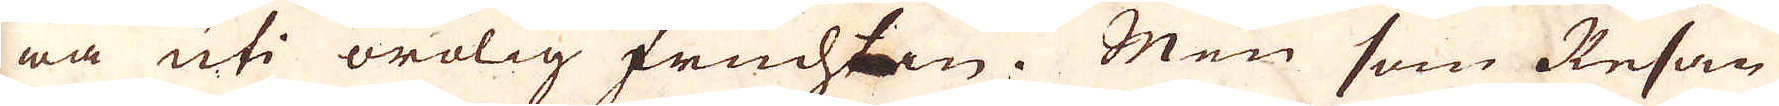wa uti orolig fruchtan. Men som Resan
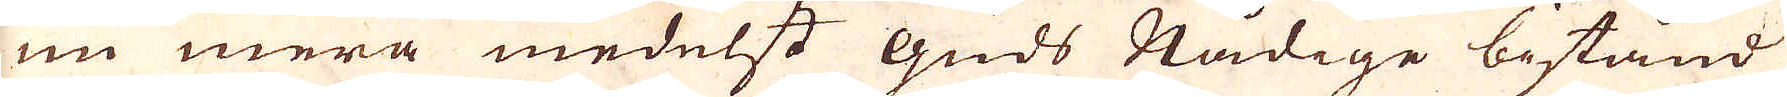nu mera medelst guds Nådige bistånd
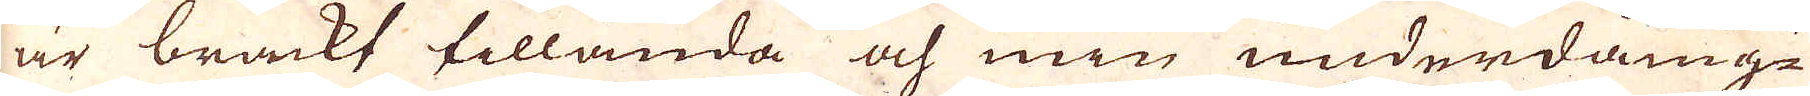är brackt tillända och min underdång-
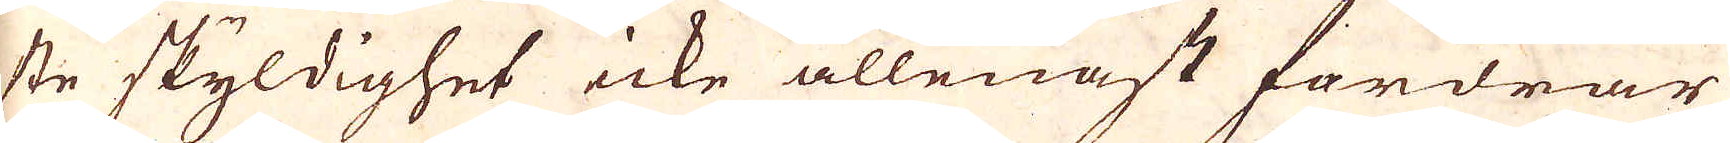ste skyldighet icke allenast fordrar
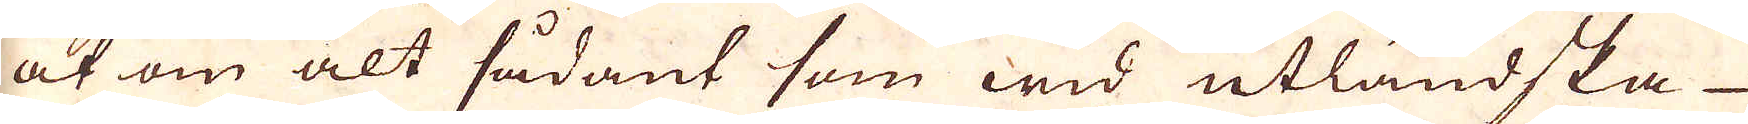at om alt sådant som wid utländska
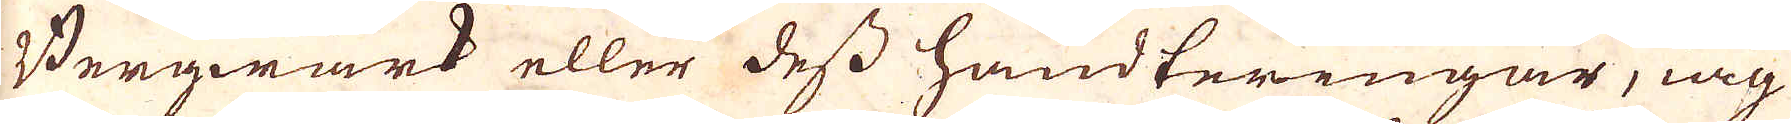Bergwerk eller dess handteringar, iag
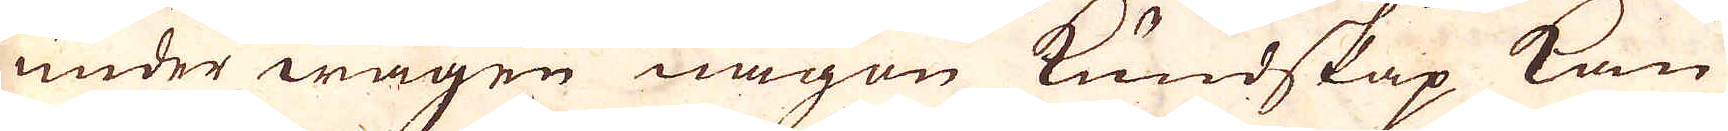under wägen någen kundskap kan
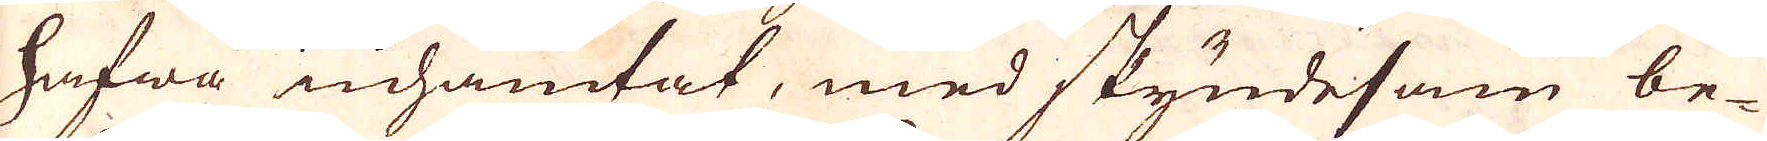hafna inhämfat, med skyndsam be-
